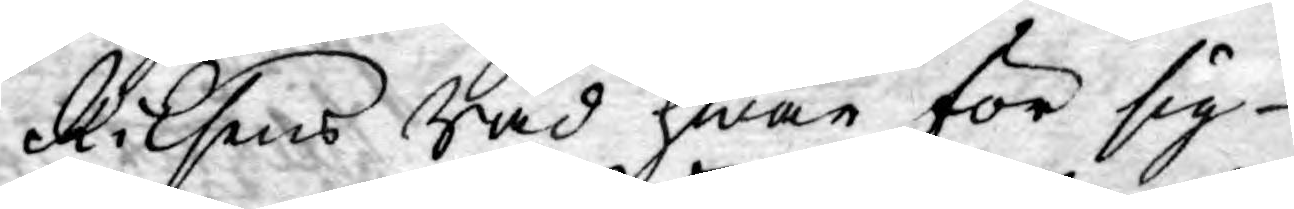Riksens Råd hwar för sig
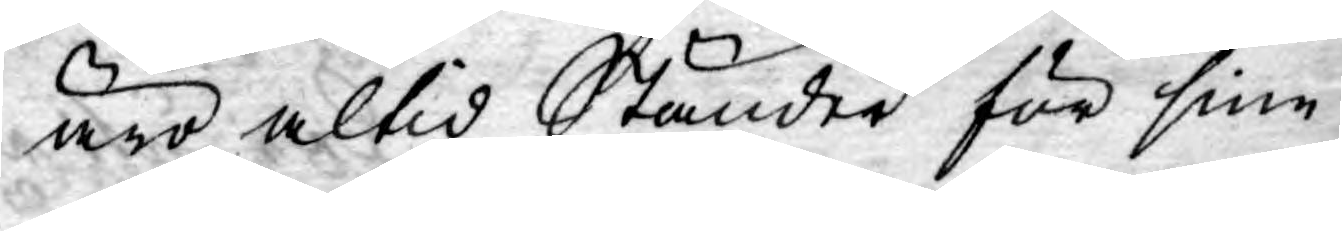äro altid Ständer för sine
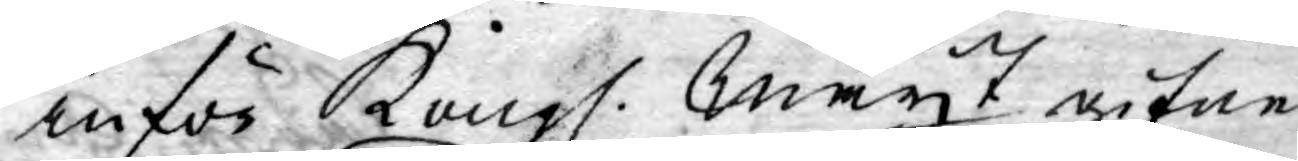inför Kongl. Mayt gifne
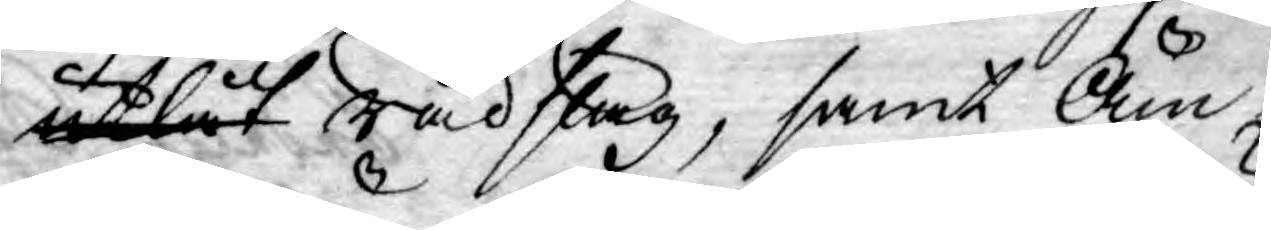utlåt rådslag, samt Äm¬
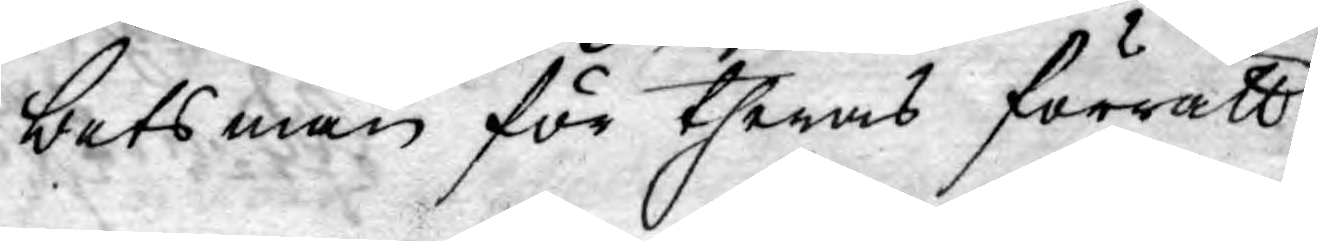betsmän för theras förrätt-
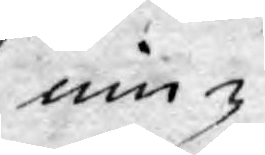ning
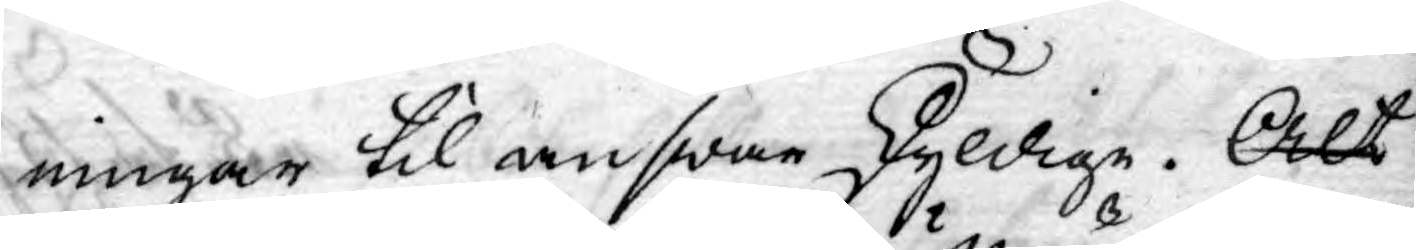ningar til answar skyldige. Alt
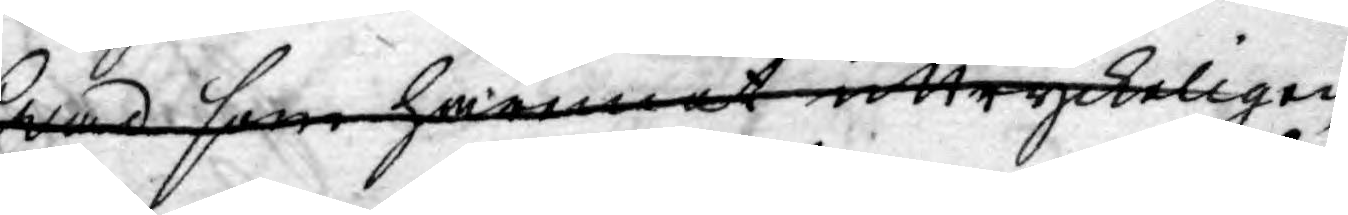hwad som häremot uttryckeligen
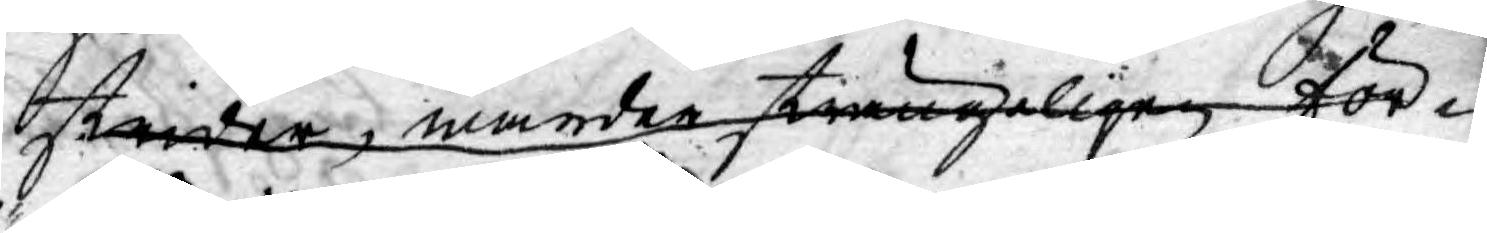strider, warder strängeligen för¬
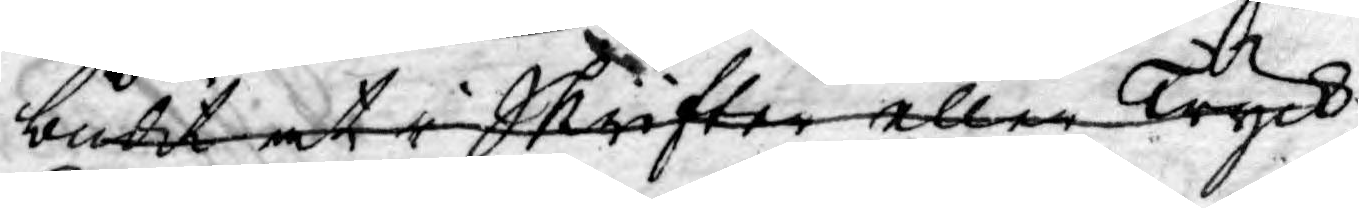budit at i Skrifter eller Tryck
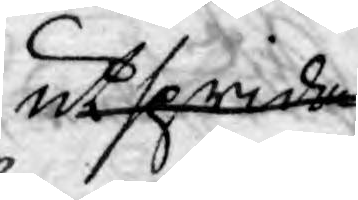utsprida.
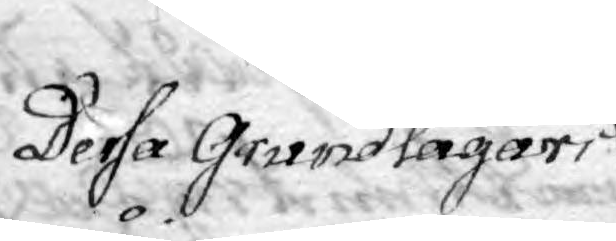Dessa Grundlagar i
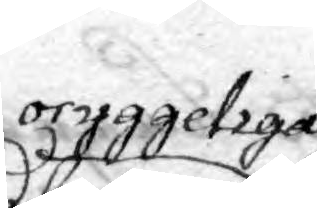oryggeliga
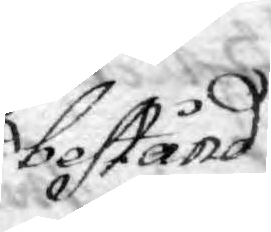bestånd
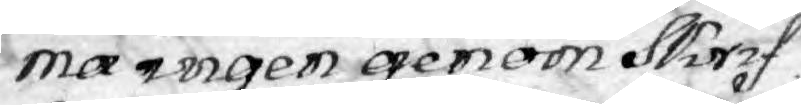må ingen genom Skrif¬
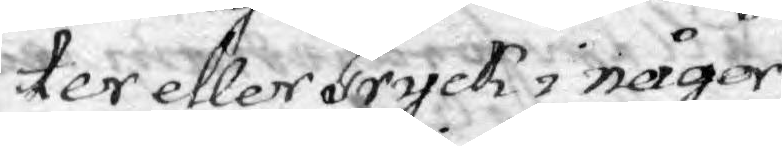ter eller Tryck i någor
